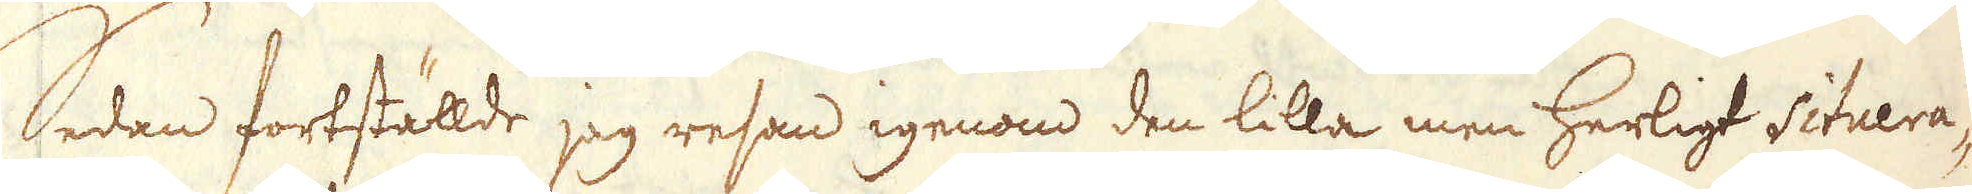Sedan fortställde jag resan igenom den lilla men herligt situera-
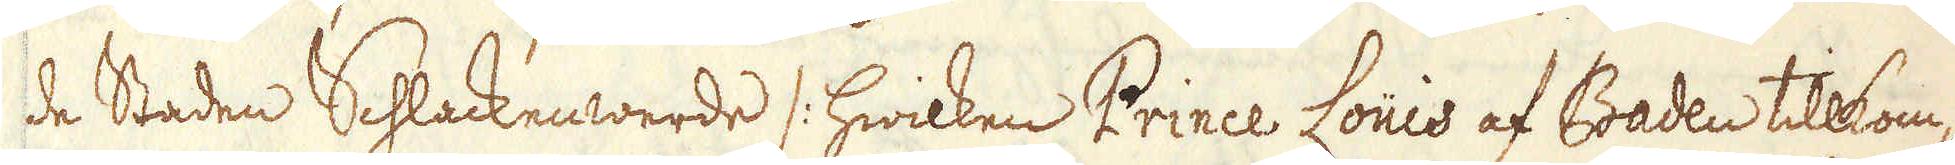de Staden Schlackenwerde /: hwilken Prince Louis af Baden tillkom-
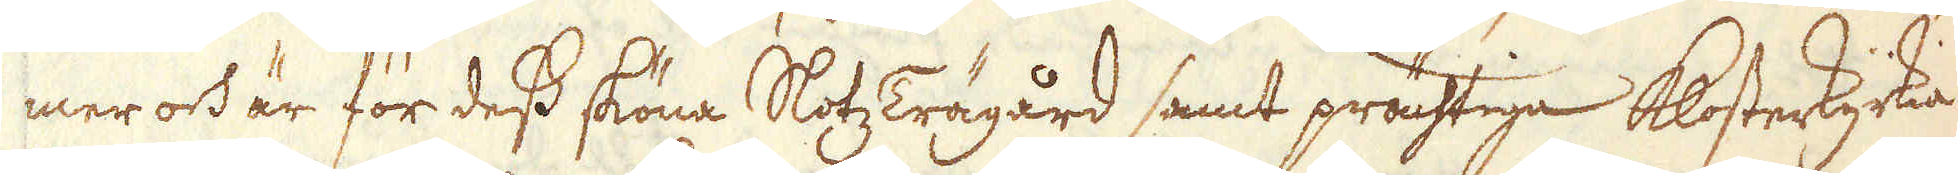mer och är för dess sköna Slotz Trägård samt prächtiga Klosterkyrkia
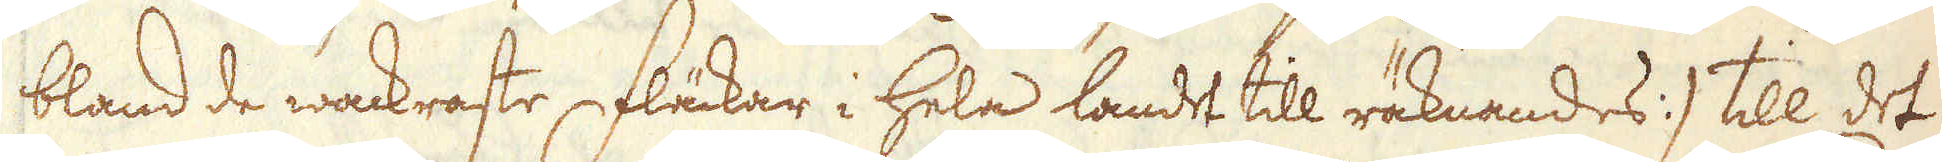bland de wackraste Fläckar i hela landet till räknandes :/ till det
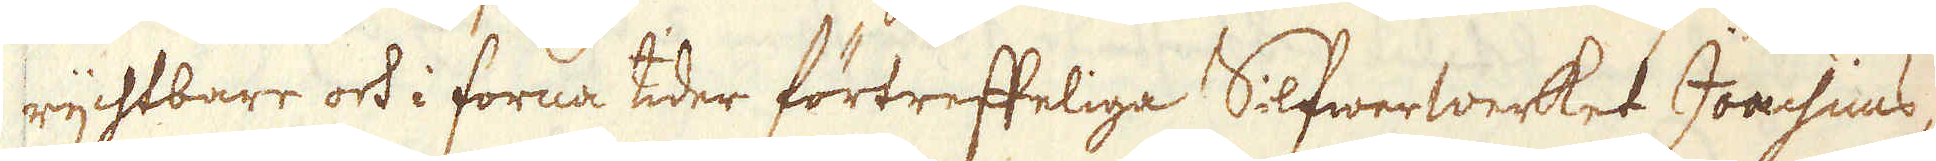rychtbare och i forna tider förtreffeliga Silfwerwerket Joachims-
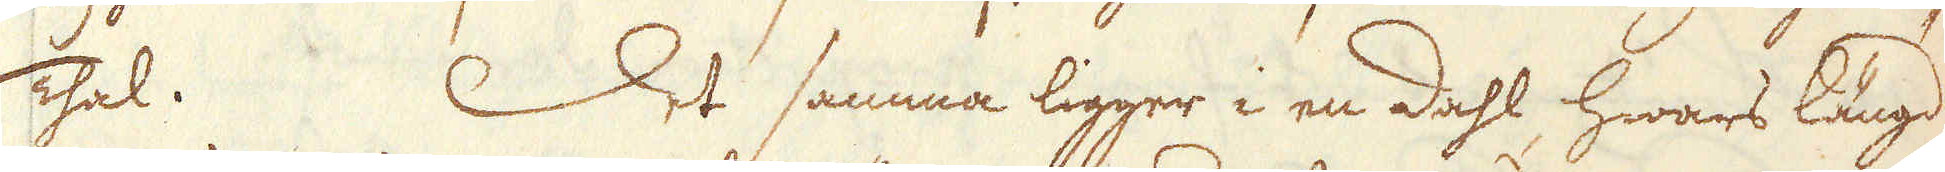Thal. Det samma ligger i en dahl, hwars längd
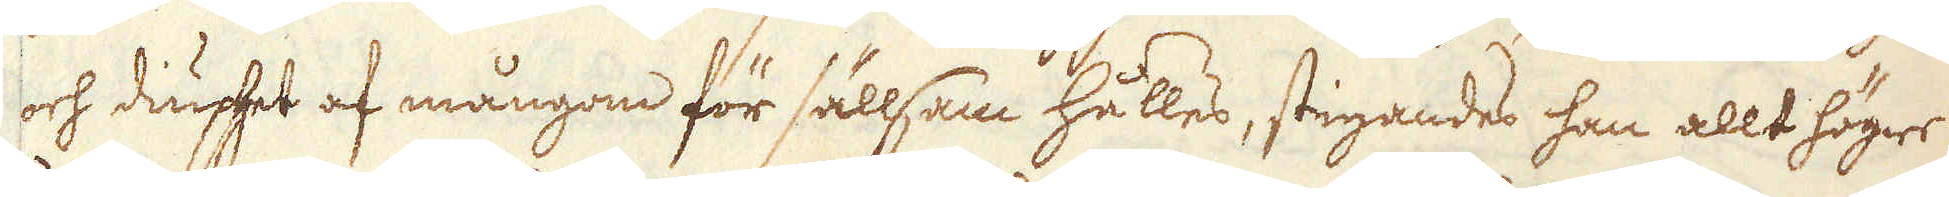och diuphet af mångom för sällsam hålles, stigandes han allt högre
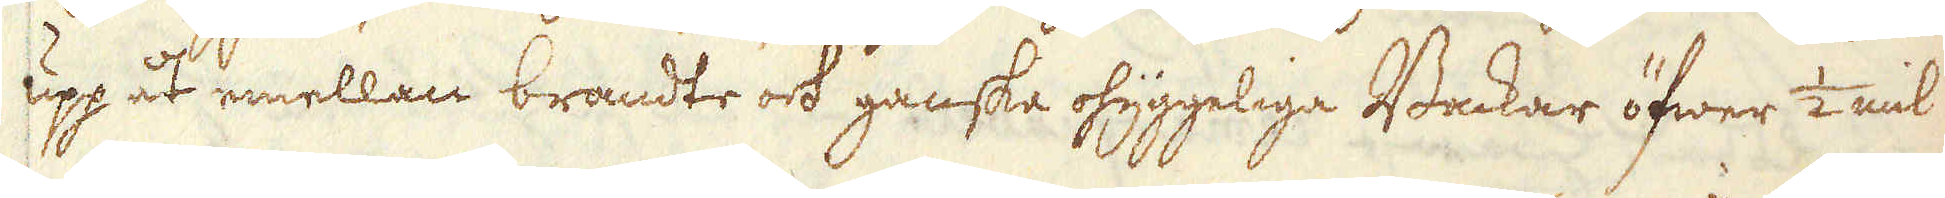uppåt emellan brandte och ganska ohyggeliga Backar öfwer 1/2 mil
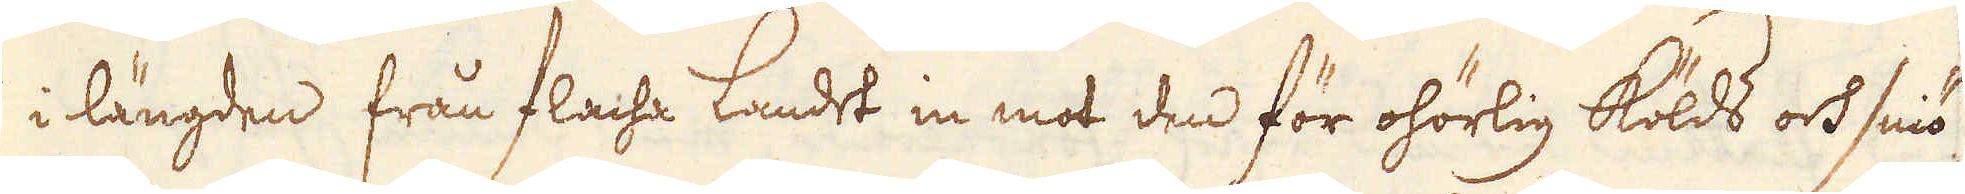i längden från flacha Landet in mot den för ohörlig Kölds och sniö
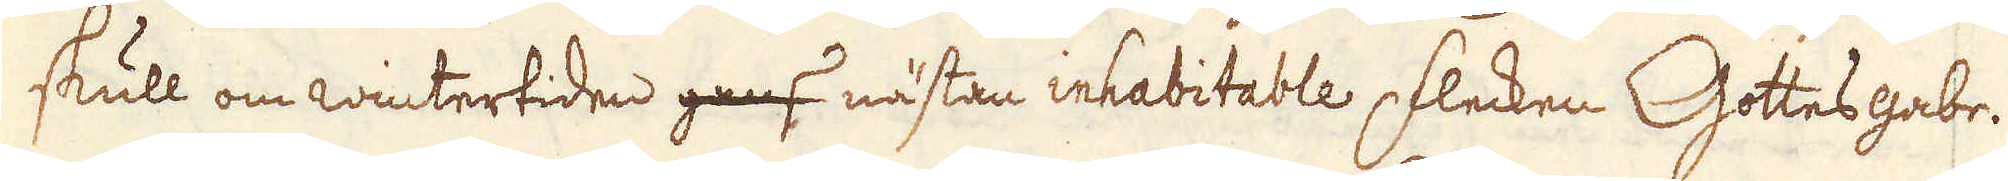skull om wintertiden gans nästan inhabitable flecken Gottes gabe.
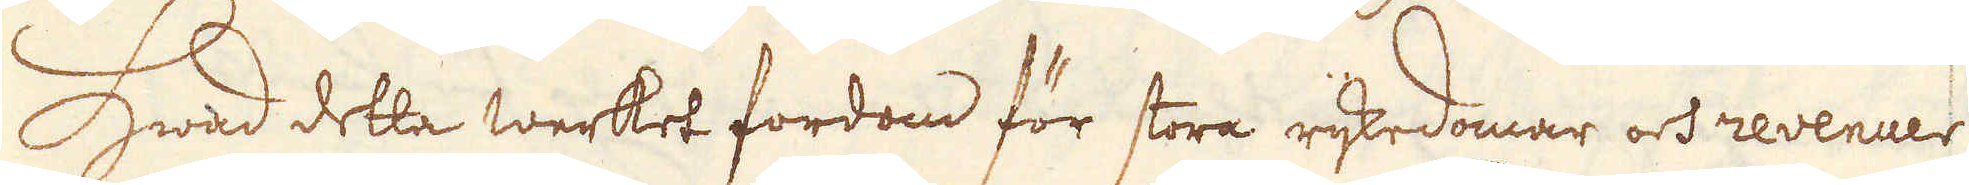Hwad detta werket fordom för stora rijkedomar och revenuer
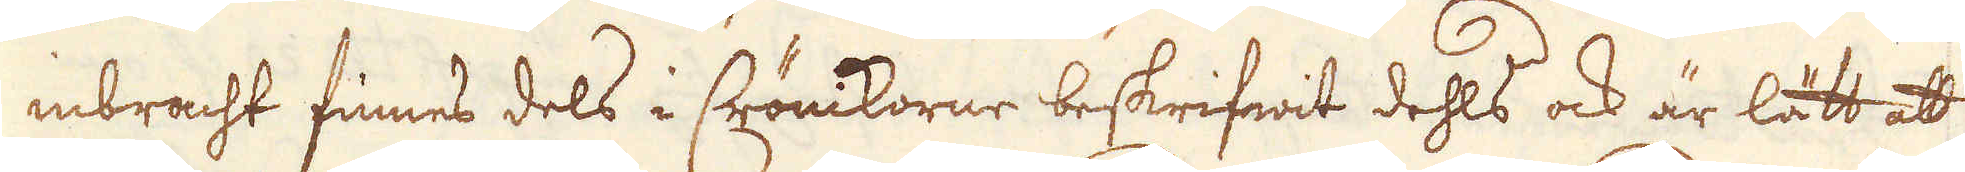inbracht finnes dels i Chrönikorne beskrifwit dehls ock är lätt att
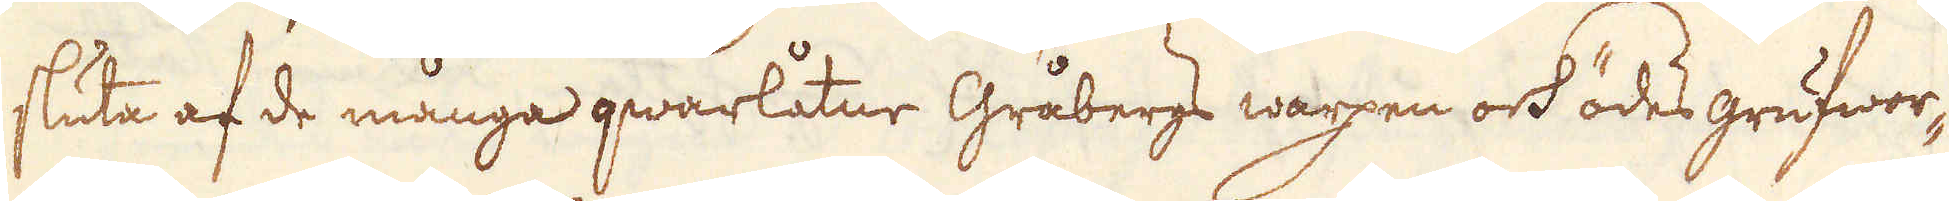sluta af de många qwarlåtne Gråbergs warpen och ödes grufwor-
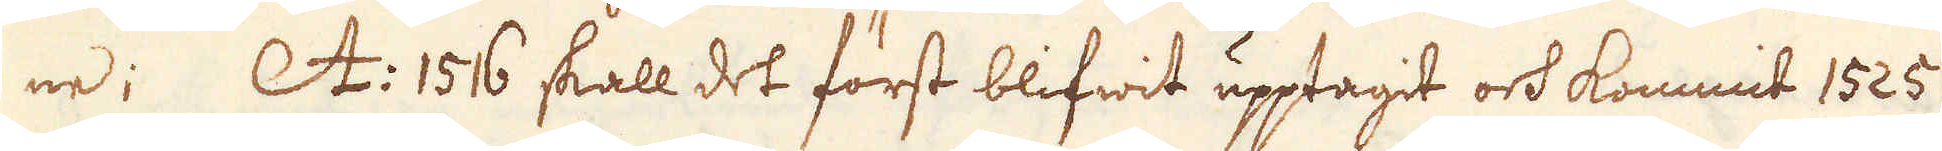ne; A: 1516 skall det först blifwit upptagit och kommit 1525
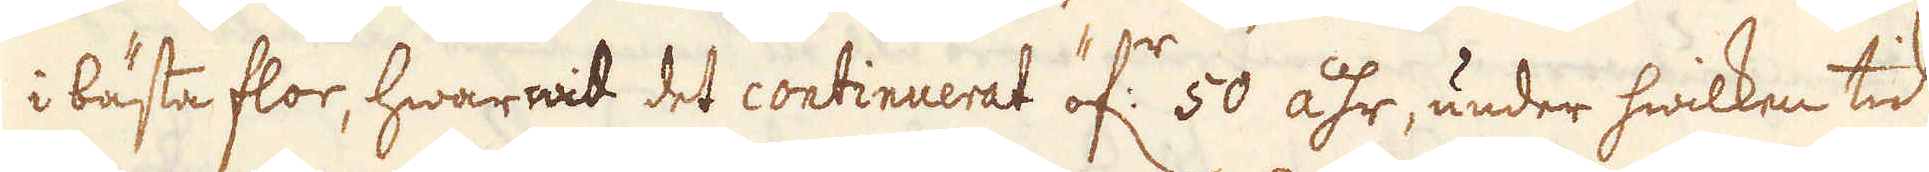i bästa flor, hwarwid det continuerat öf:r 50 åhr, under hwilken tid
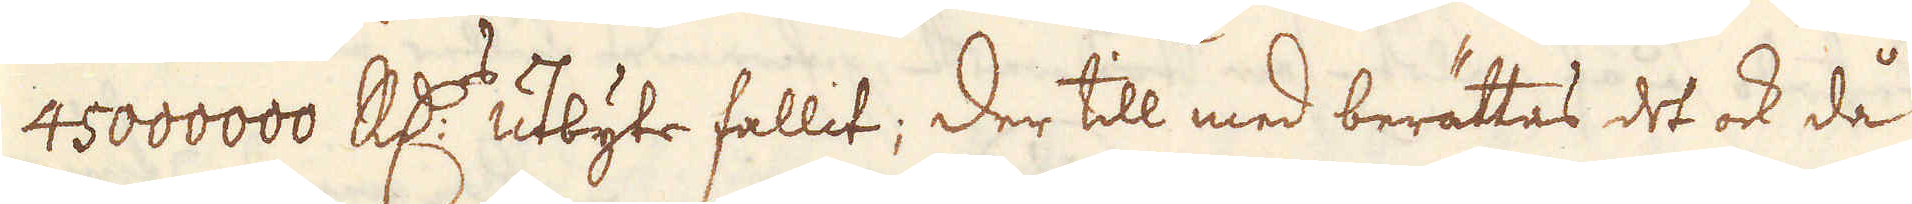45000000 R:dr utbyte fallit; Der till med berättas det ock då
